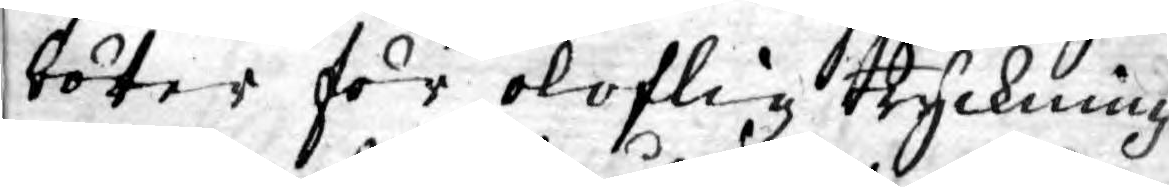böter för oloflig tryckning
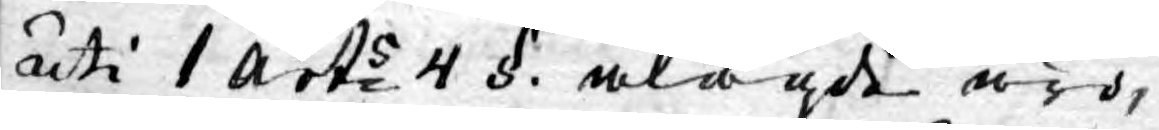uti 1 arts 4 §. ålagde äro,
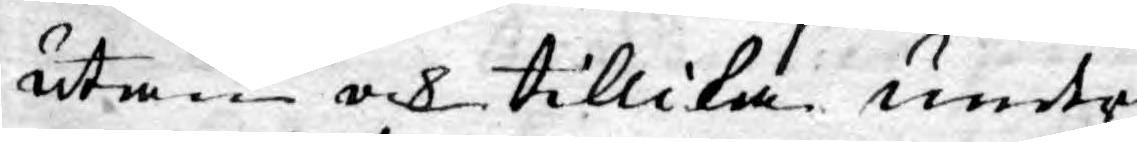utan ock tillika under¬
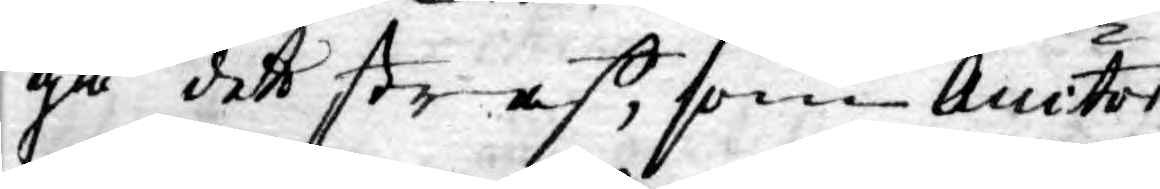gå det straff, som Auctor
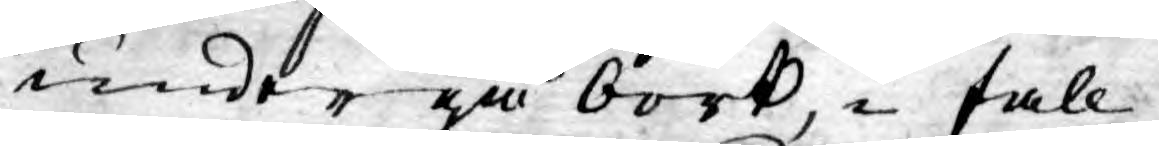undergå bort, i fall
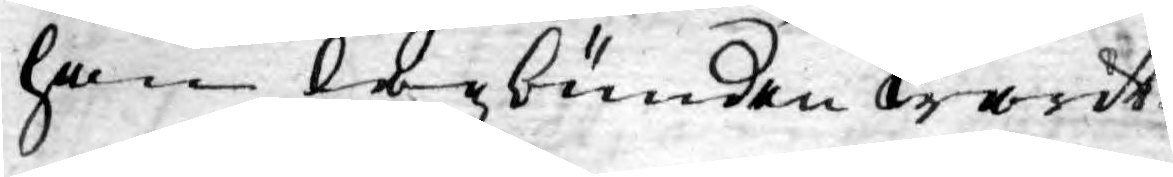han lagbunden warit.
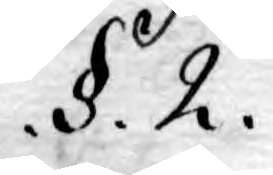.§. 2.
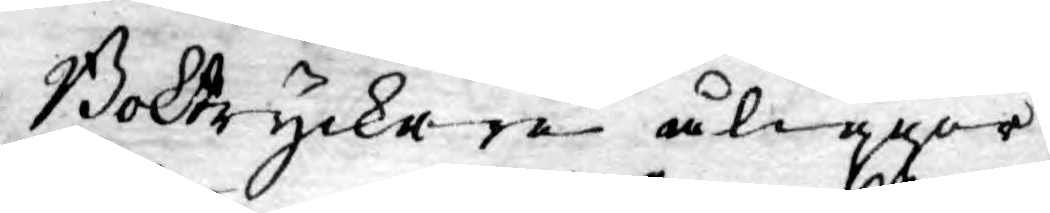Boktryckare åligger
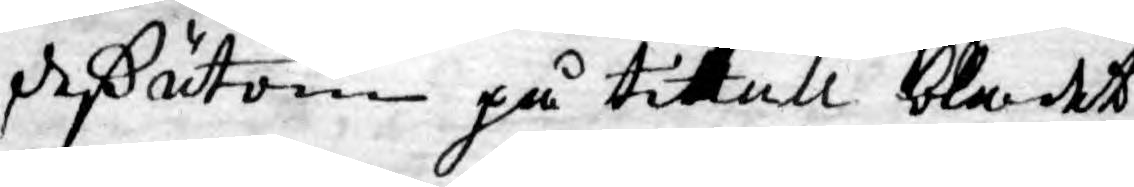deßutom på tiltall bladet
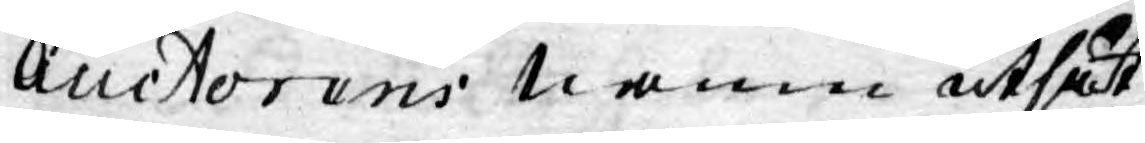Auctorens namn utsät¬
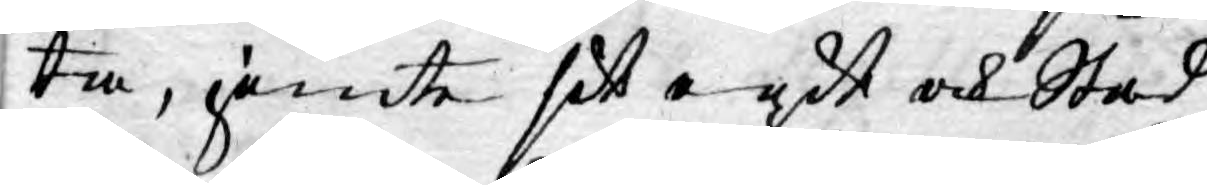ta, jämte sit egit och Stad¬
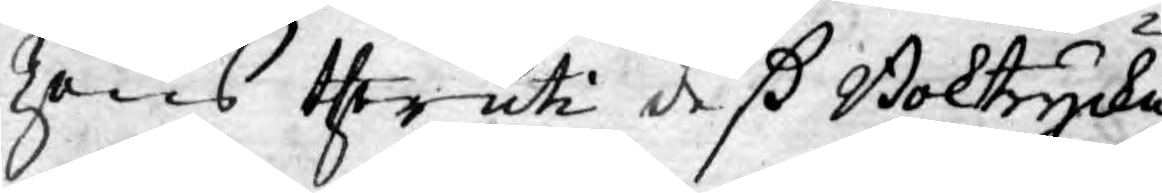zens theruti deß Boktrycke¬
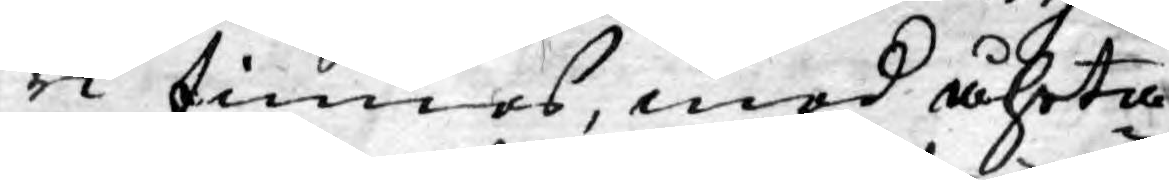ri finnes, med åhrta¬
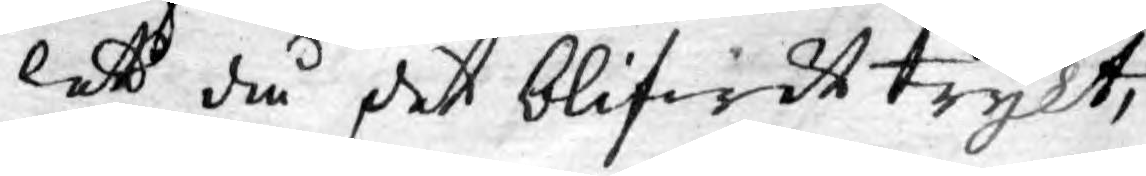lett då det blifwit trykt,
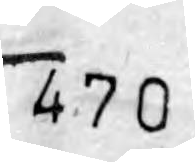470
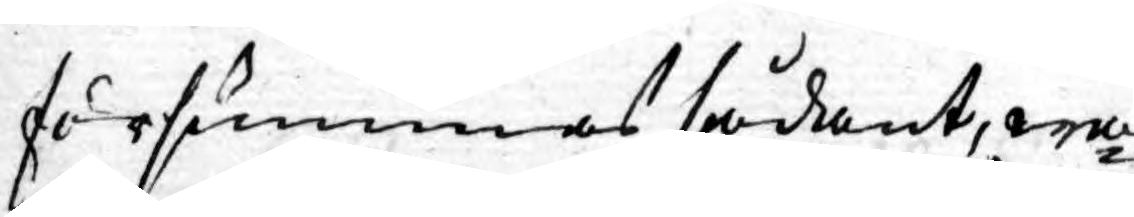försummas sådant, wa¬
